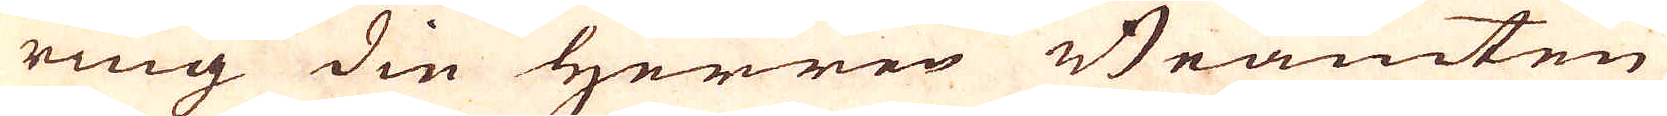ring die Herren Bramten
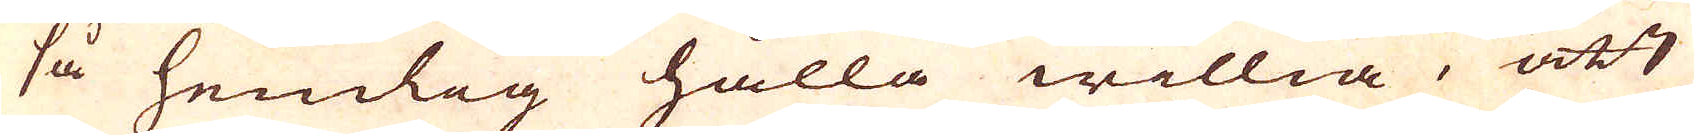så hemlig hålla willia, att
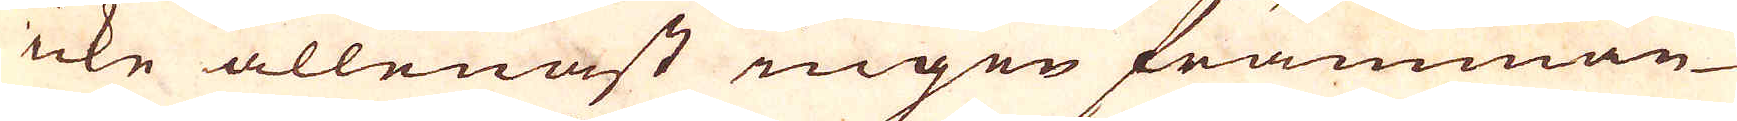icke allenast ingen främman-
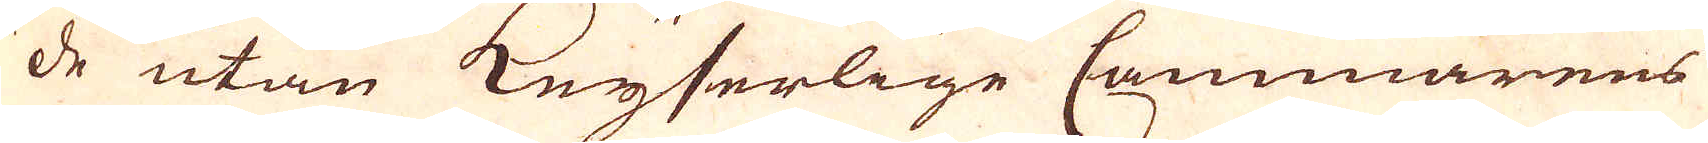de utan Keyserlige Cammarens
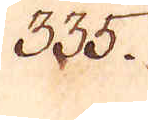335.
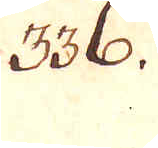336.
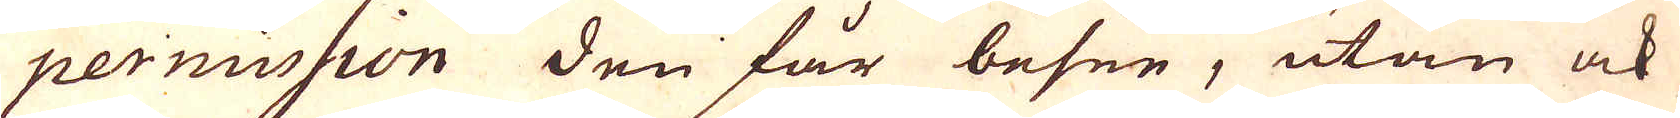permission den får besee, utan ock
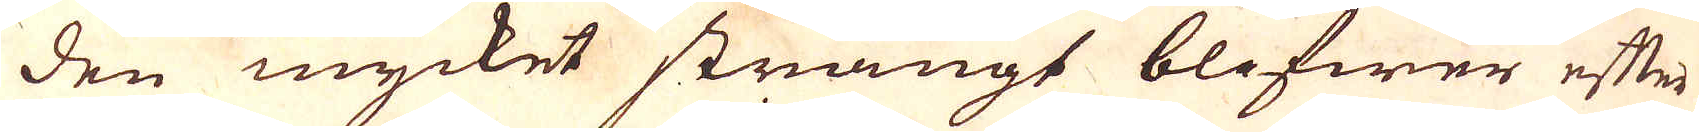den mycket strängt blifwer efter
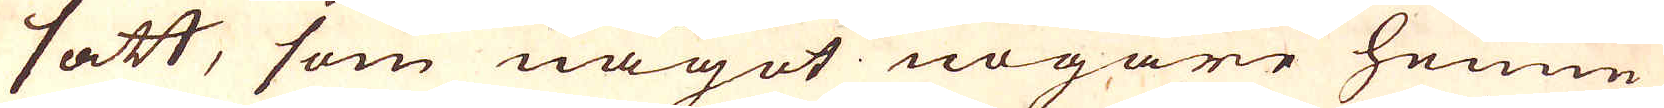satt, som något nogare henne
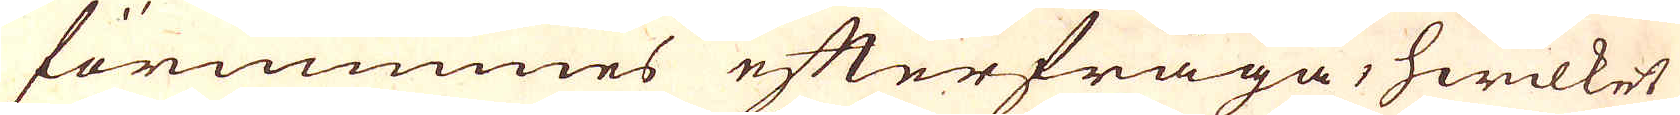förnimmes efterfråga, hwilket
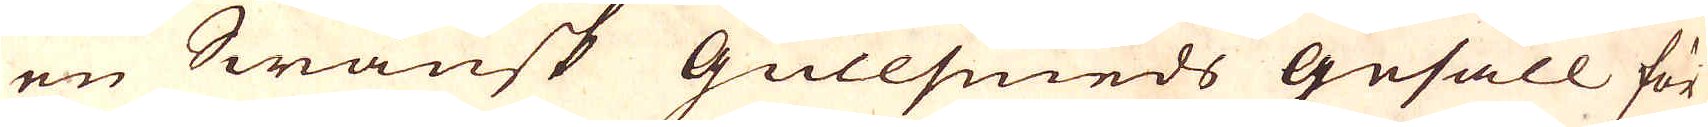en Swänsk Gullsmeds Gesäll för
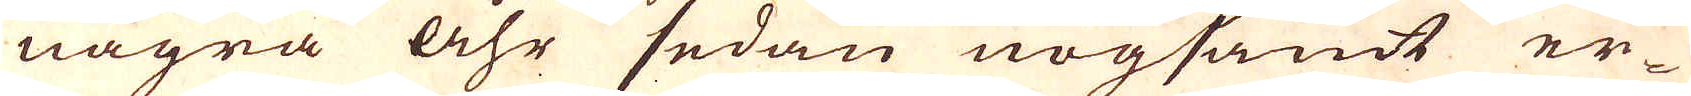några åhr sedan nogsamt er-
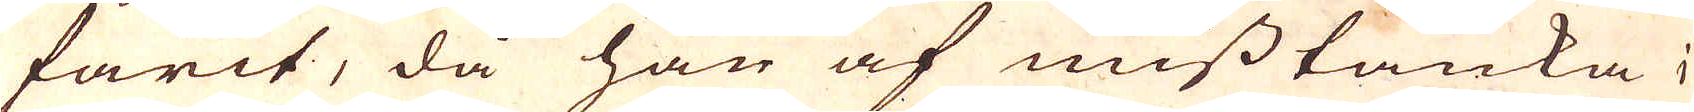farit, då han af misstanka i,
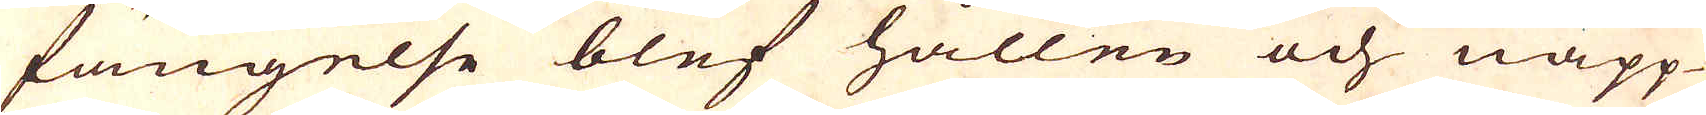fängelse blef hållen och näpp-
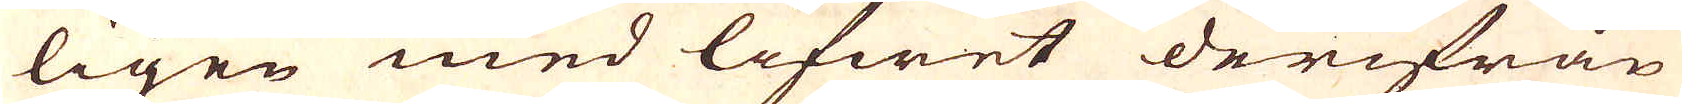ligen med lifwet derifrån
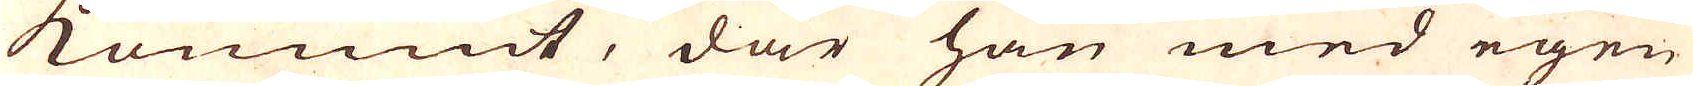kommit, där han med egen
